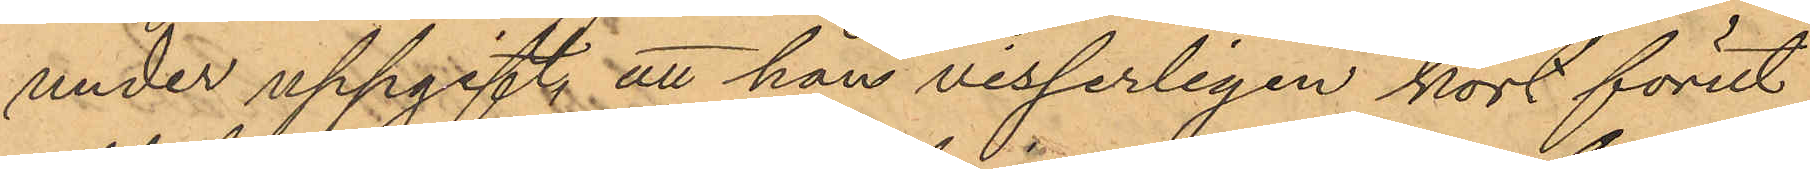under uppgift att han visserligen kort förut
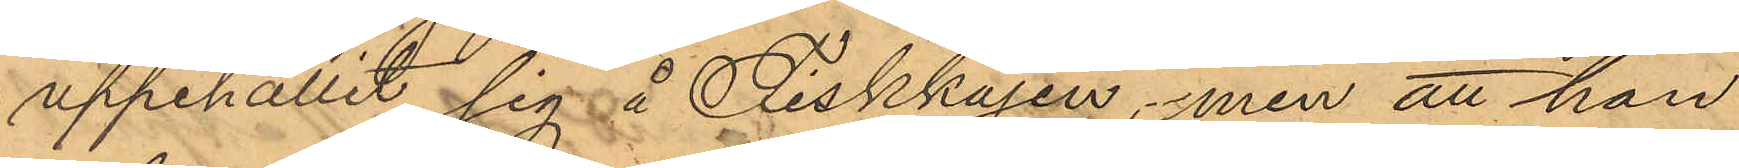uppehållit sig å Fiskkajen, men att han
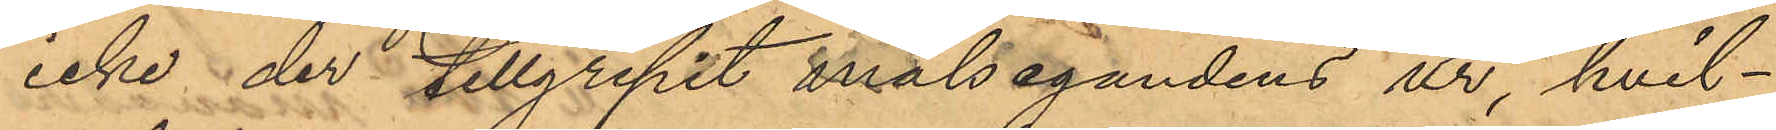icke der tillgripit målsegandens ur hvil¬
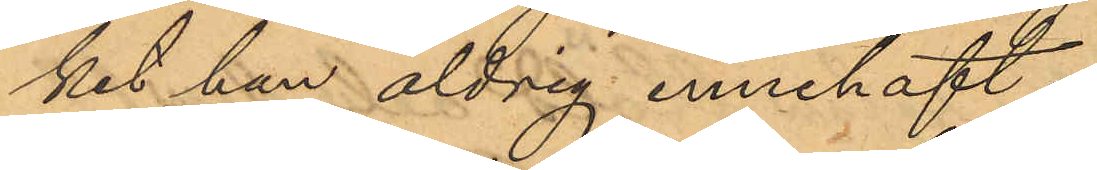ket han aldrig innehaft.
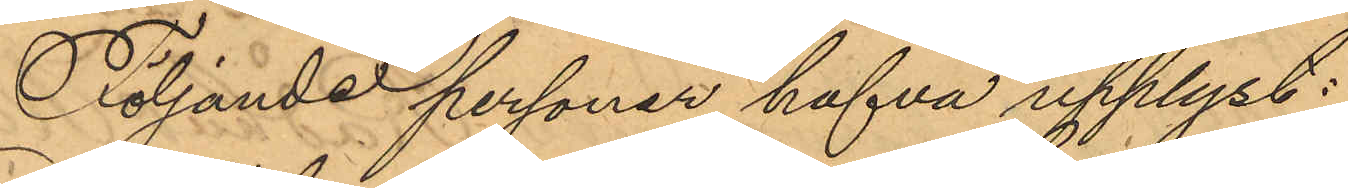Följande personer hafva upplyst:
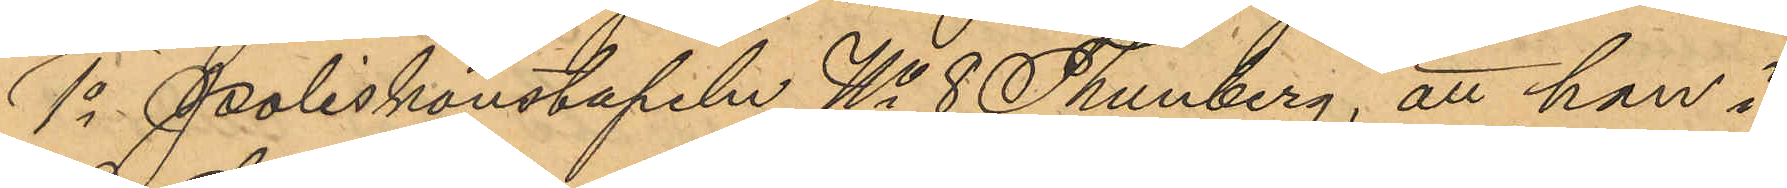1o Poliskonstapeln No 8 Thunberg, att han i
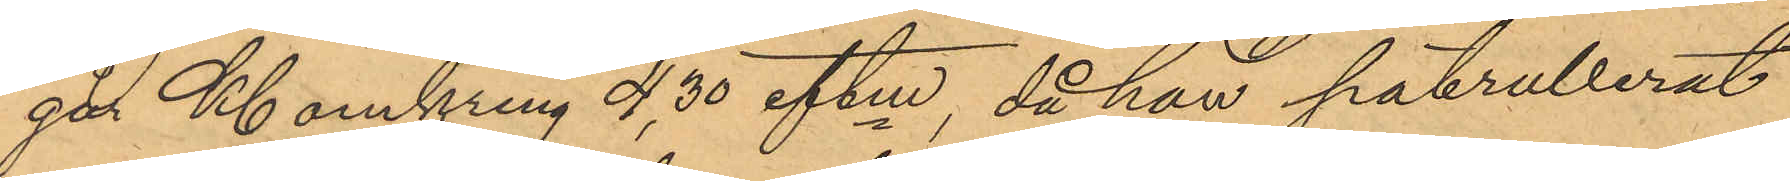går Kl. omkring 4,30 eftm, då han patrullerat
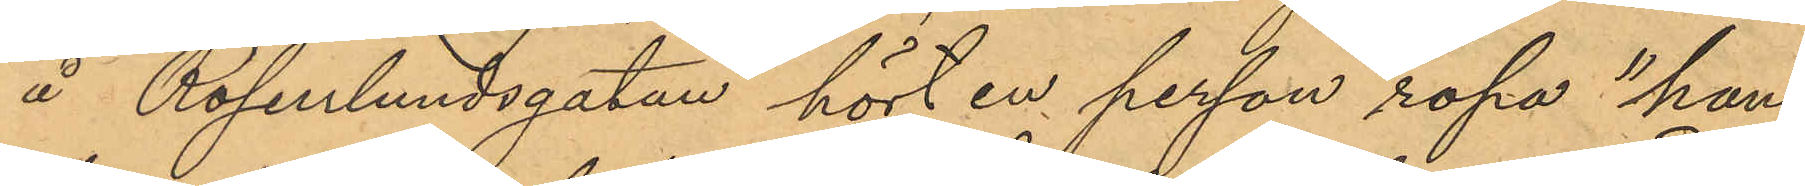å Rosenlundsgatan hört en person ropa "han
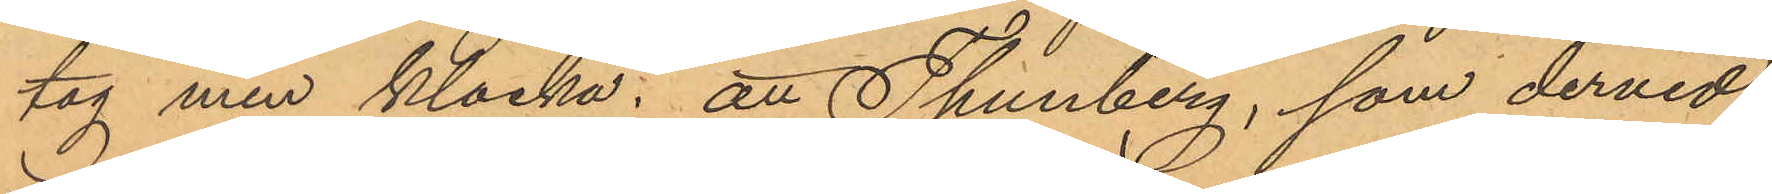tog min klocka"; att Thunberg, som dervid
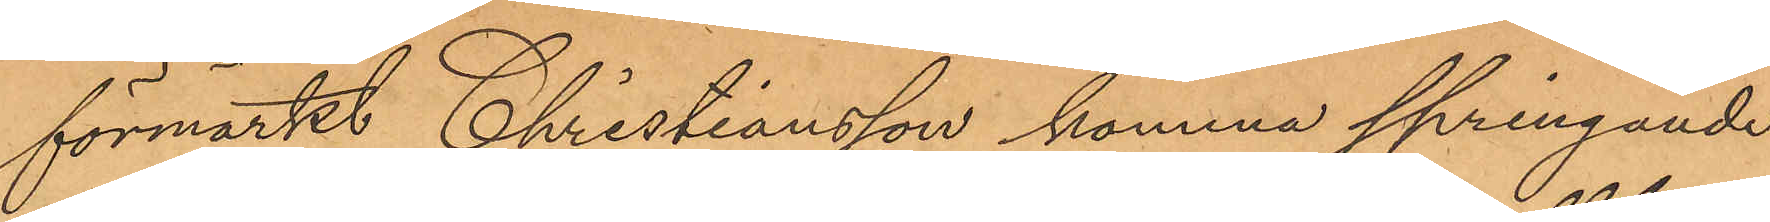förmärkt Christiansson komma springande
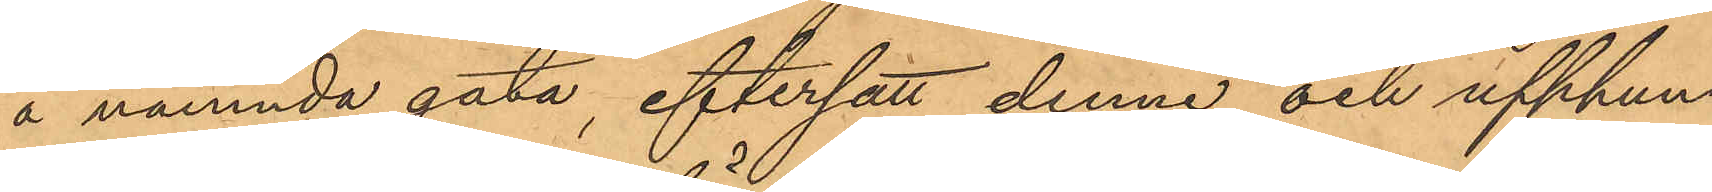å nämnda gata, eftersatt denne och upphun¬
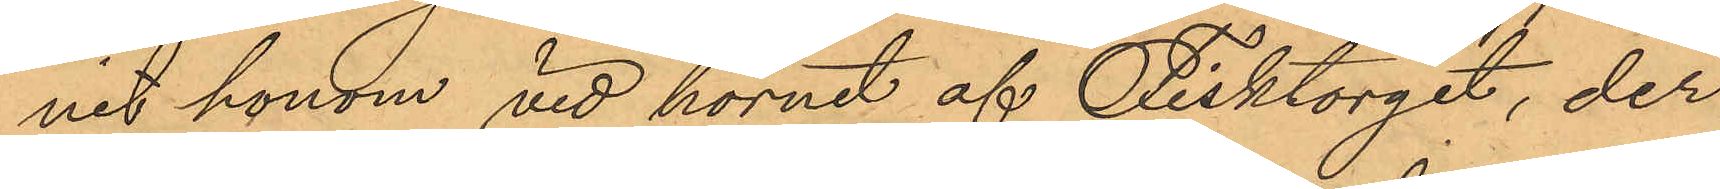nit honom vid hörnet af Fisktorget, der
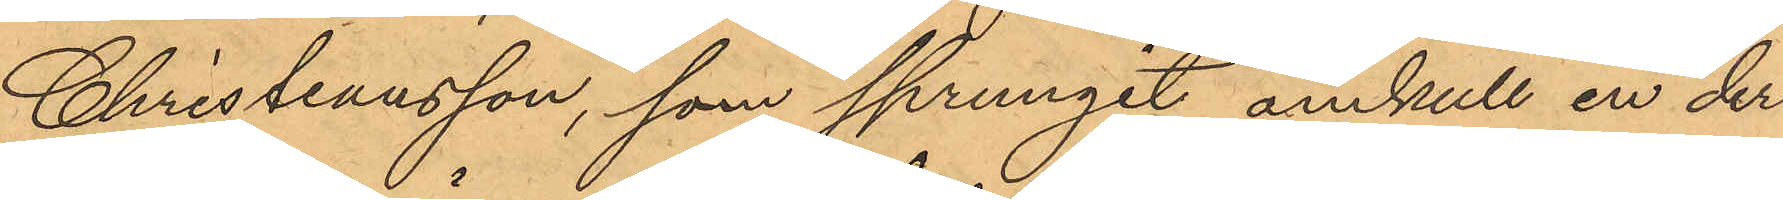Christiansson, som sprungit omkull en der
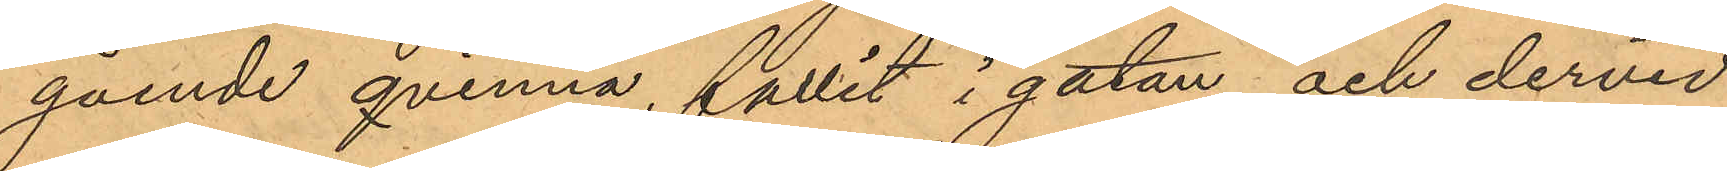gående qvinna, fallit i gatan och dervid
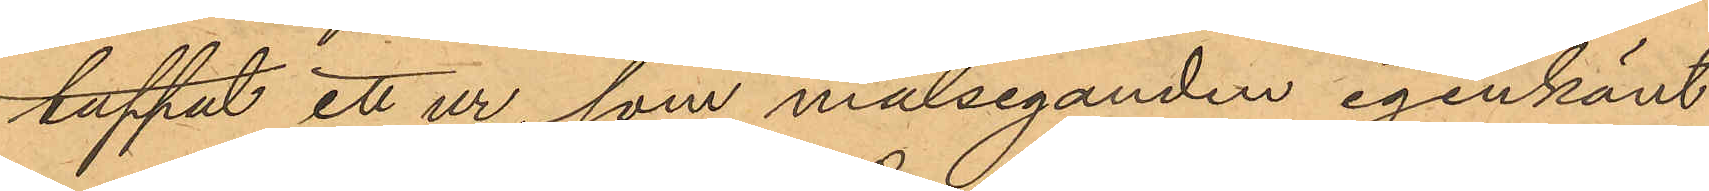tappat ett ur, som målseganden igenkänt
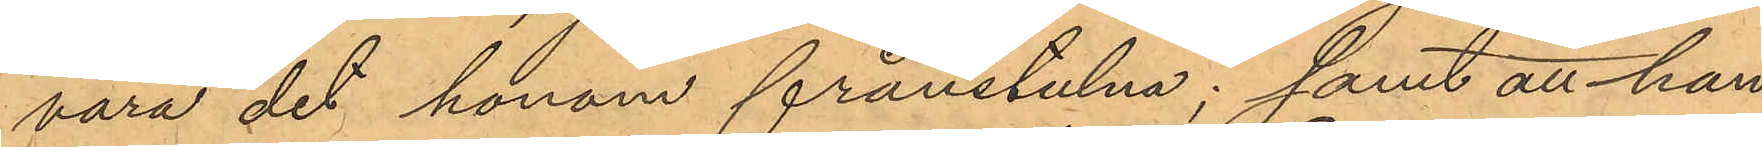vara det honom frånstulna; samt att han
